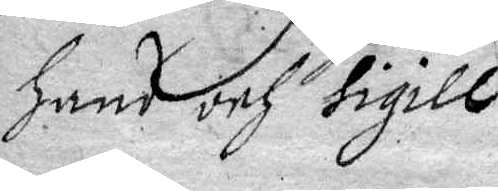Hans och sigill.
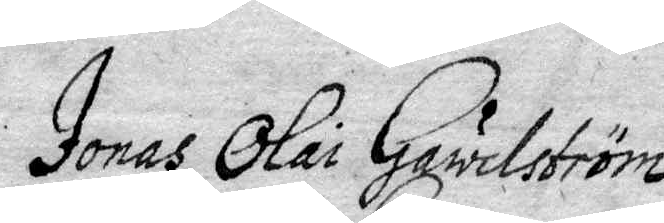Jonas Olai Gawelström
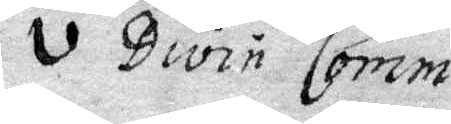v Divin Comm.
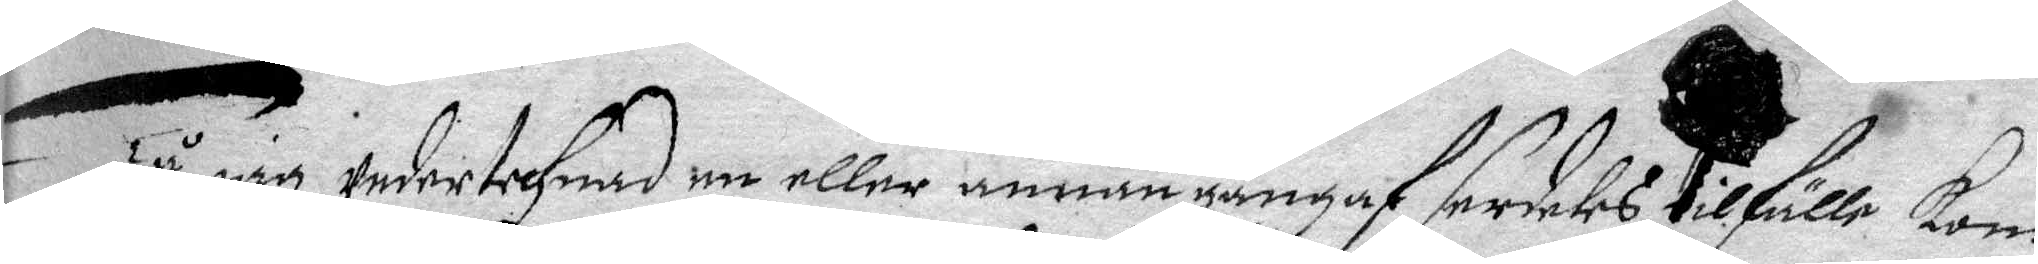Tå iag undertechnad en eller annan gång af serdeles tilfälle kom
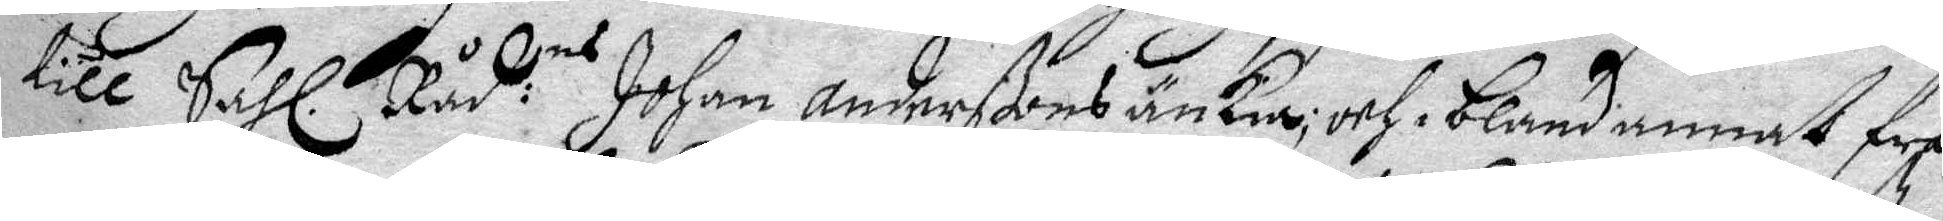till Sahl. Råd.ns Johan Anderßons änkia; och bland annat frå¬
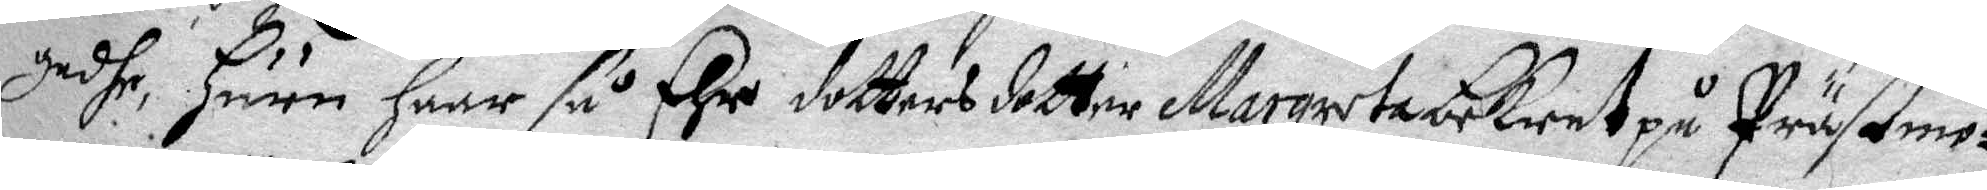gadhe Huru Haar så Ehre dottersdotter Margareta bekent på Prästmo¬
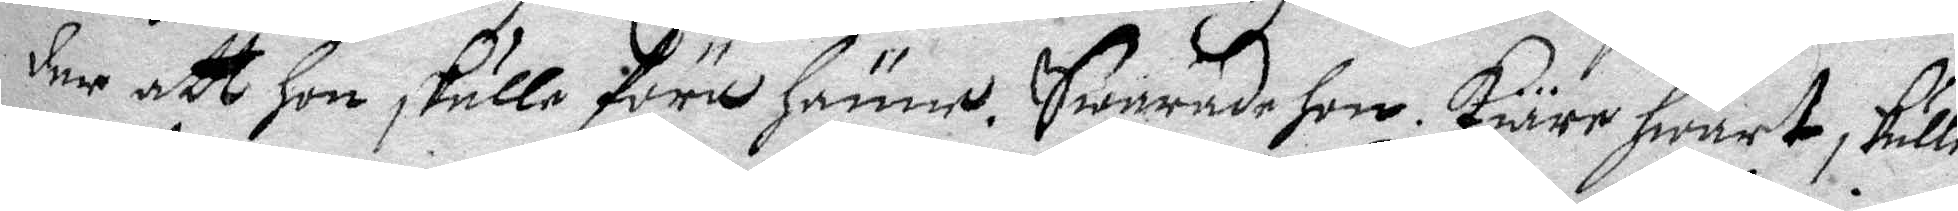der att Hon skulle föra Hänne. Swarade hon kiäre hwart skulle
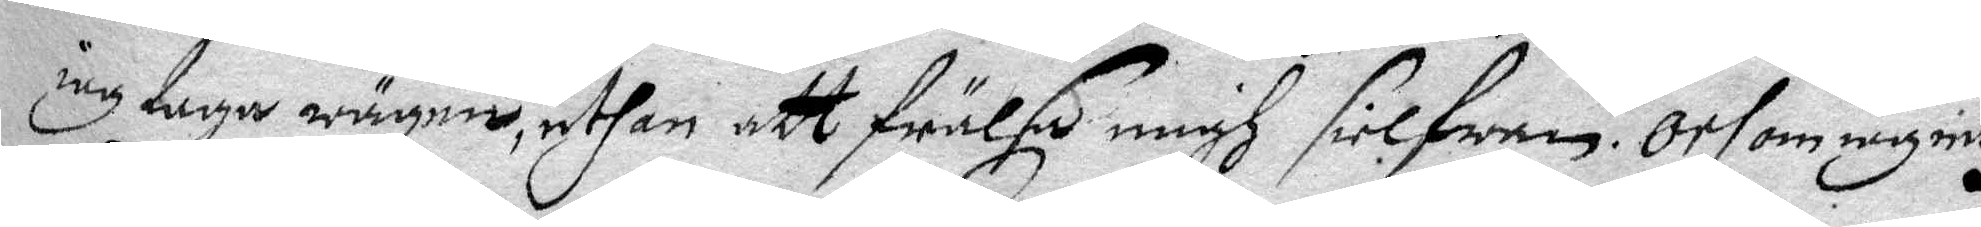iag taga wägen, uthan att frälsa migh sielwen. Och om iag intz
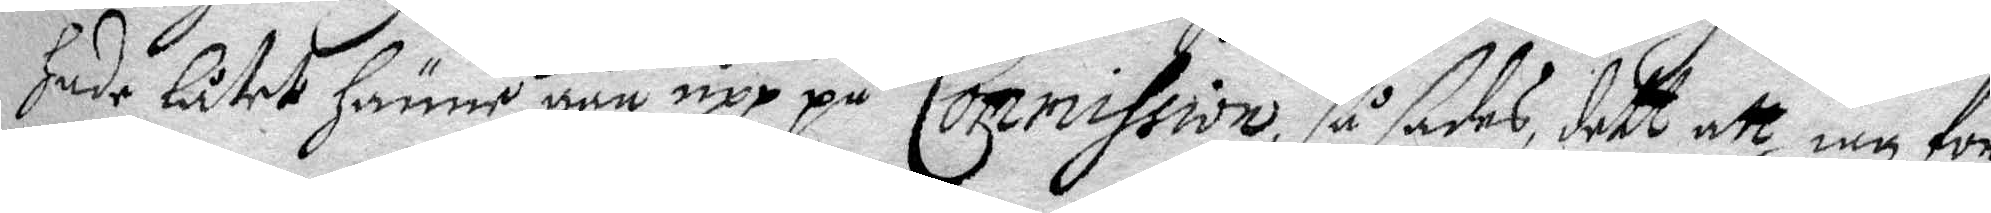Hade låtet Hänne gåå upp på Commission så sades dett att iag för¬
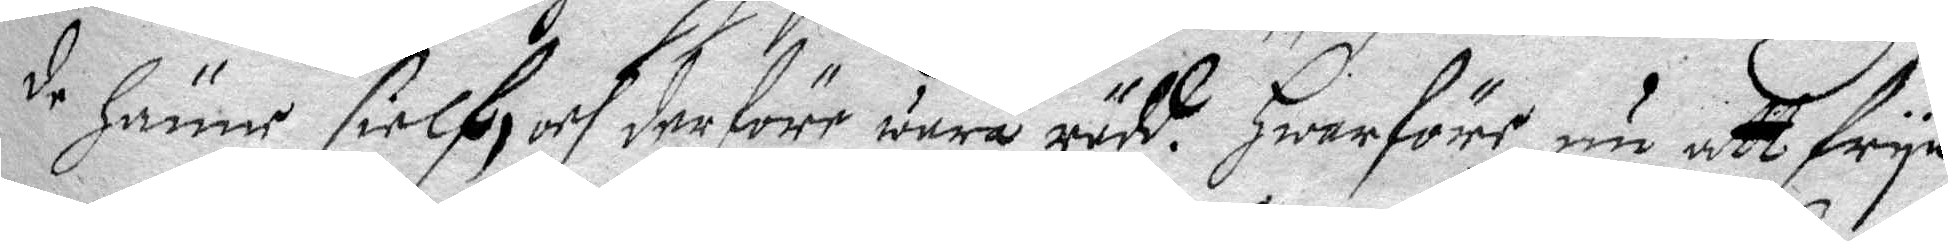de Hänne sielf, och derföre wara rädd. Hwarföre nu att frya
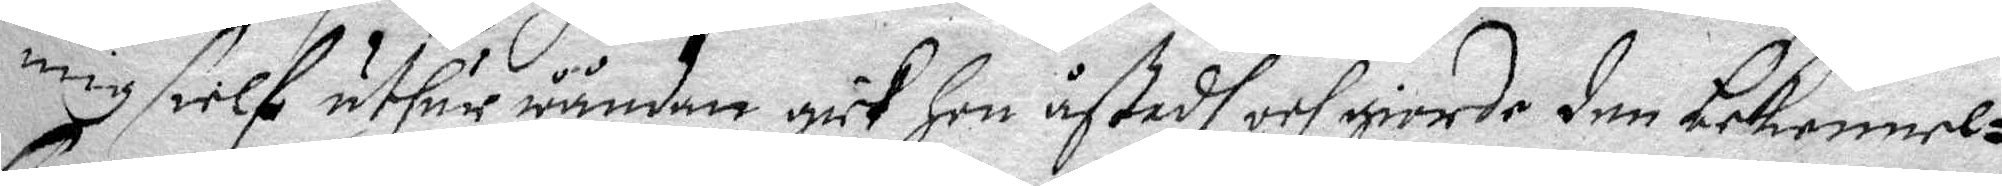mig sielf uthur wåndan gick Hon åstadh och giorde den bekennel¬
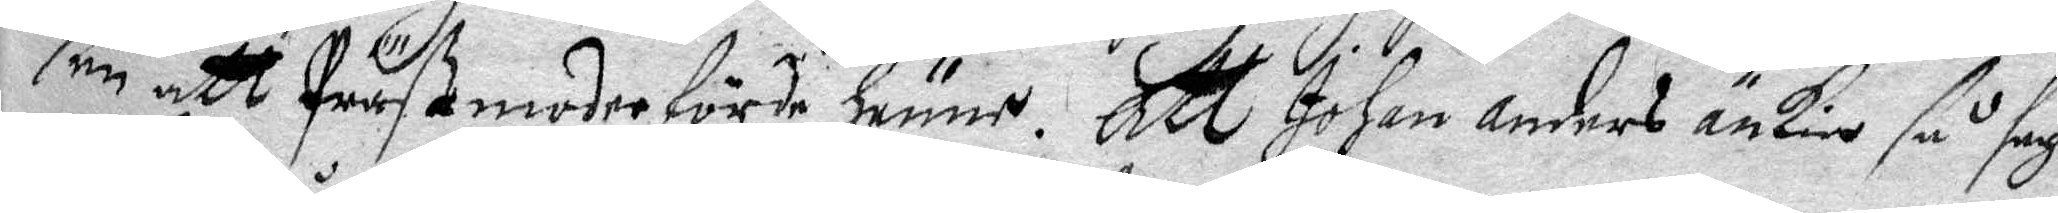sen att pröstmoder förde Hänne. Att Johan Anders änkia så sagt
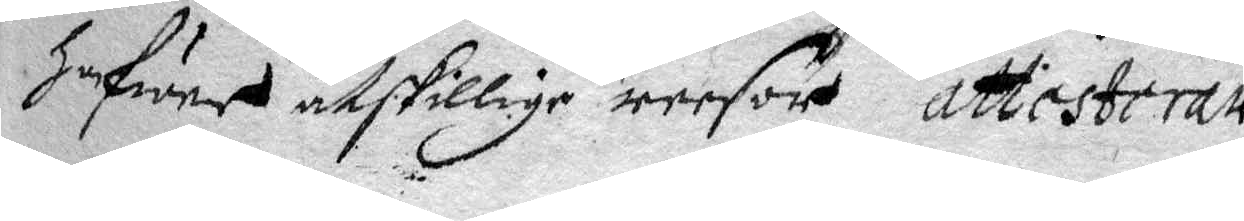Hafwer åtskillige reesor attesterar
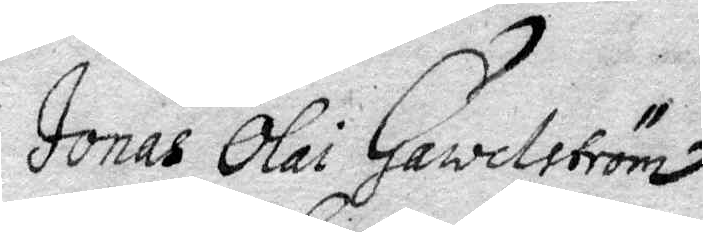Jonas Olai Gawelström
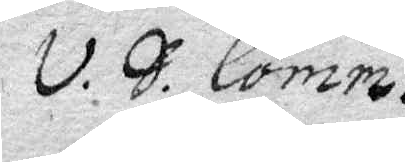v. S. Comm.
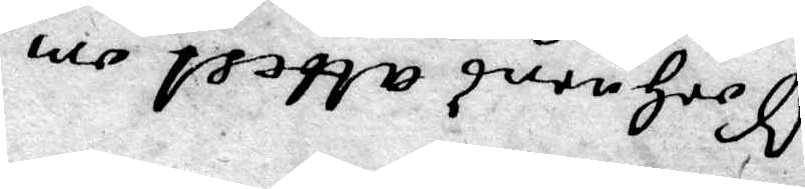Sochnens attest om
